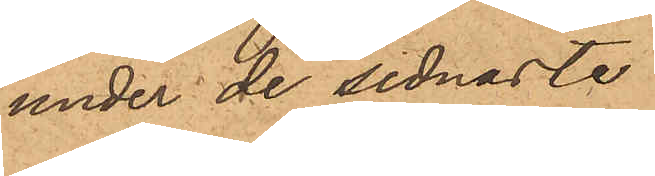under de sednaste
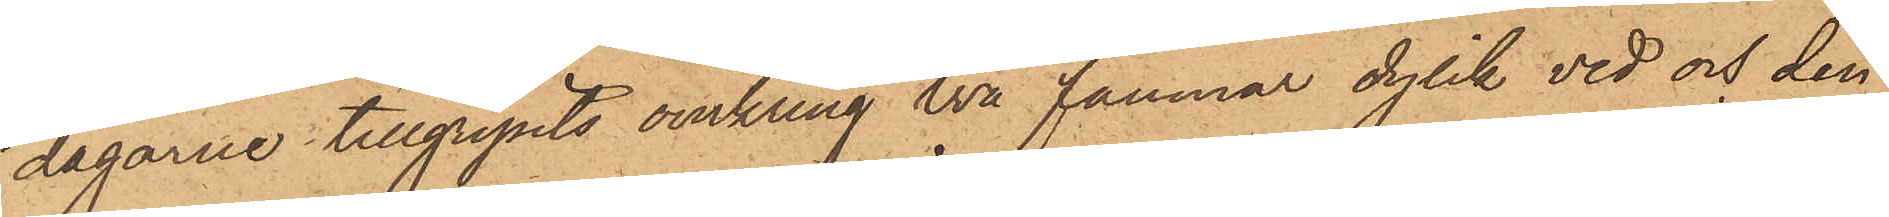dagarne tillgripits omkring två famnar dylik ved och den
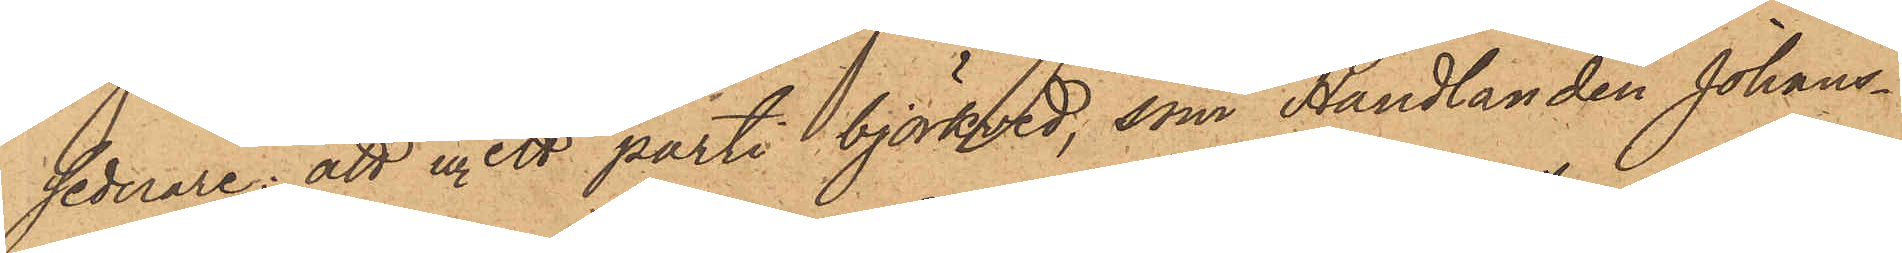sednare; att ur ett parti björkved, som Handlanden Johans¬
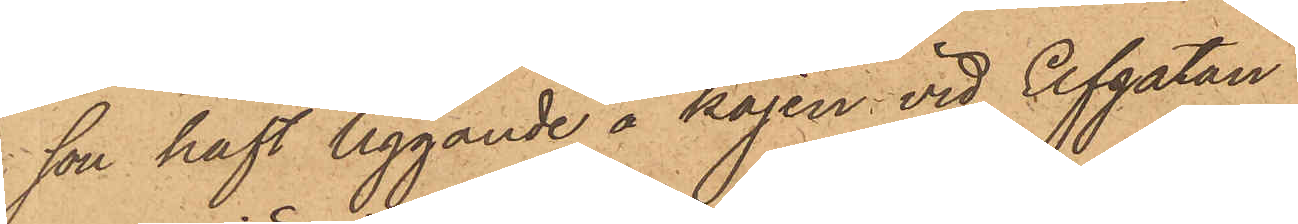son haft liggande å kajen vid Elfgatan
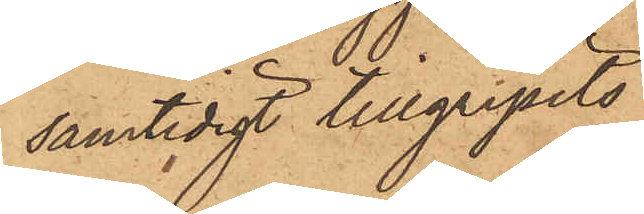samtidigt tillgripits
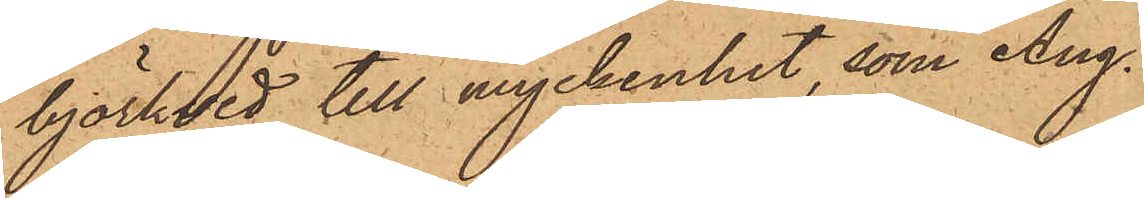björkved till myckenhet, som Aug¬
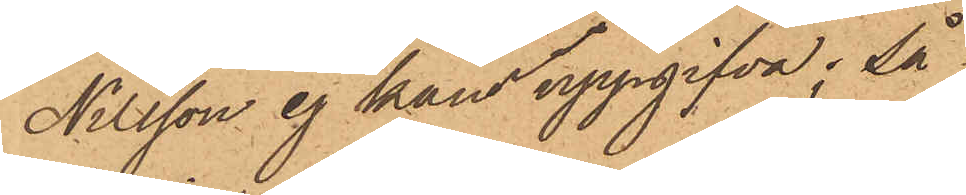Nilsson ej kunde uppgifva; så
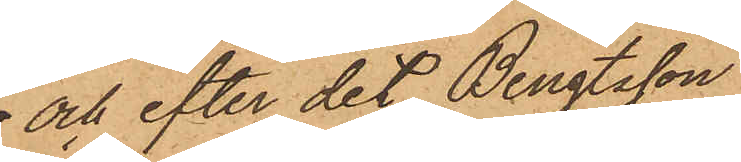och efter det Bengtsson
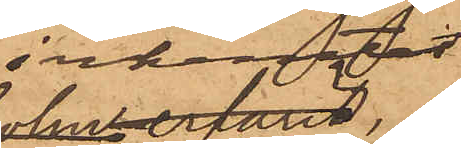inhemtat
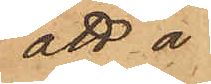att å
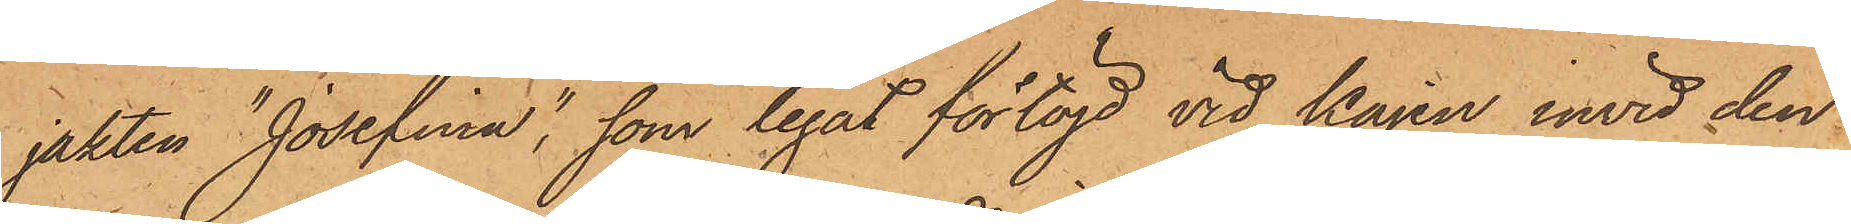jakten "Josefina", som legat förtöjd vid kajen invid den¬
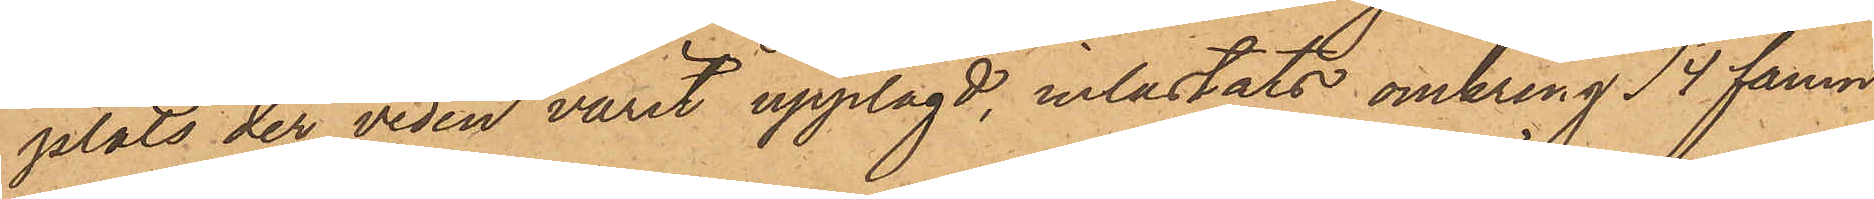plats der veden varit upplagd, inlastats omkring 14 famn
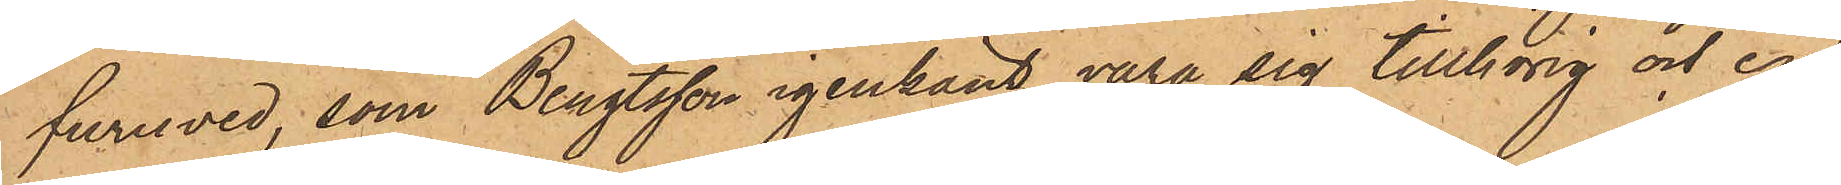furuved, som Bengtsson igenkänt vara sig tillhörig och en
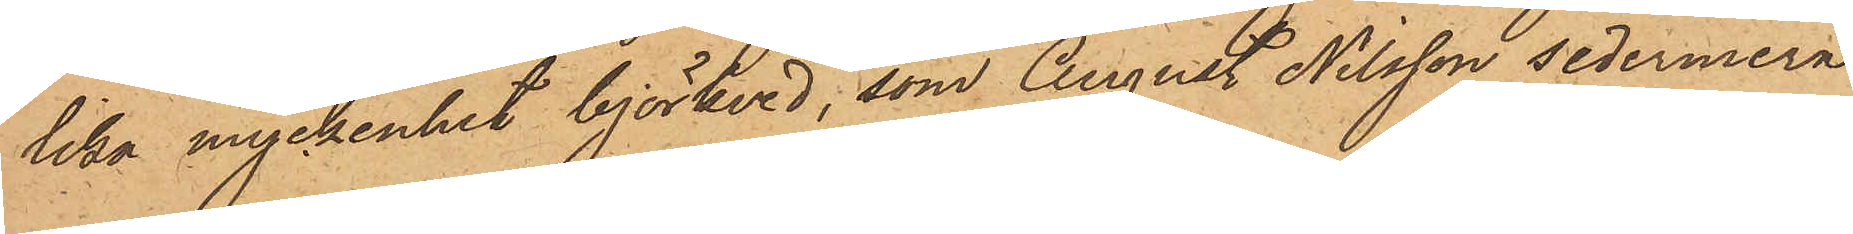lika myckenhet björkved, som August Nilsson sedermera
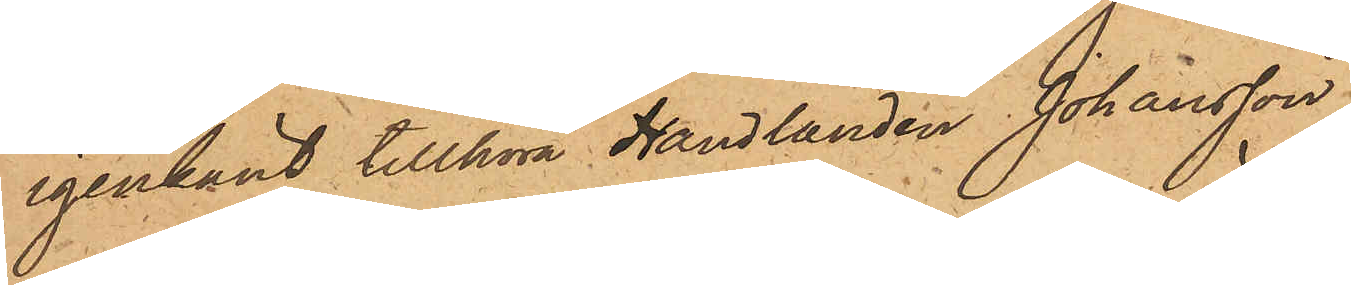igenkänt tillhöra Handlanden Johansson
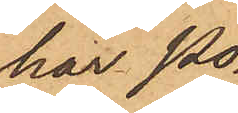har Po¬
